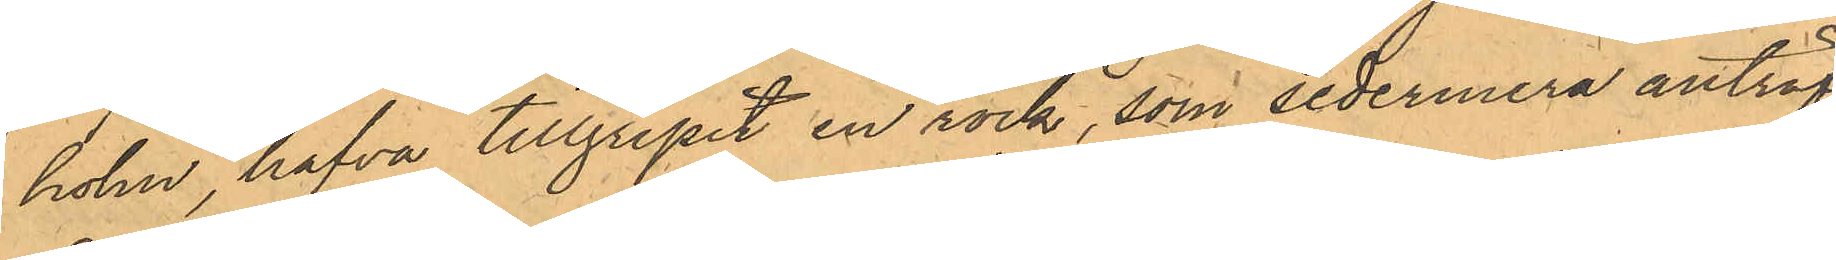holm, hafva tillgripit en rock, som sedermera anträf¬
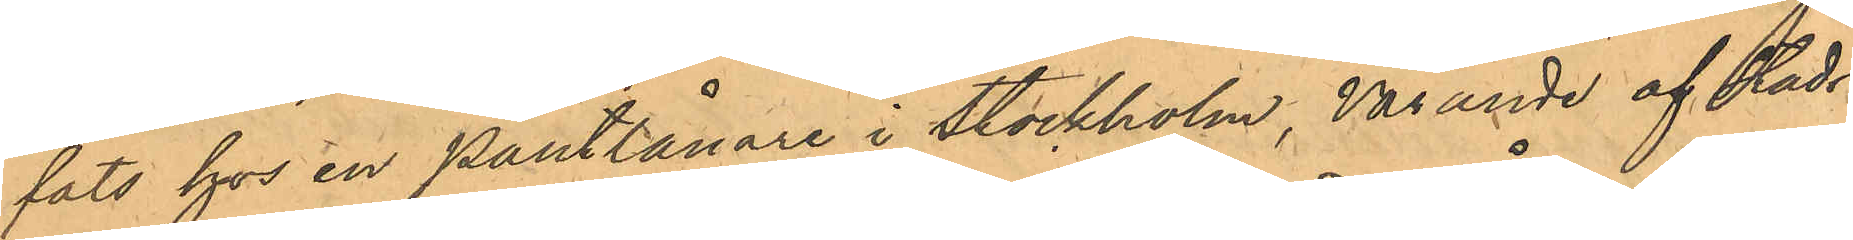fat hos en Pantlånare i Stockholm, varande af Stads¬
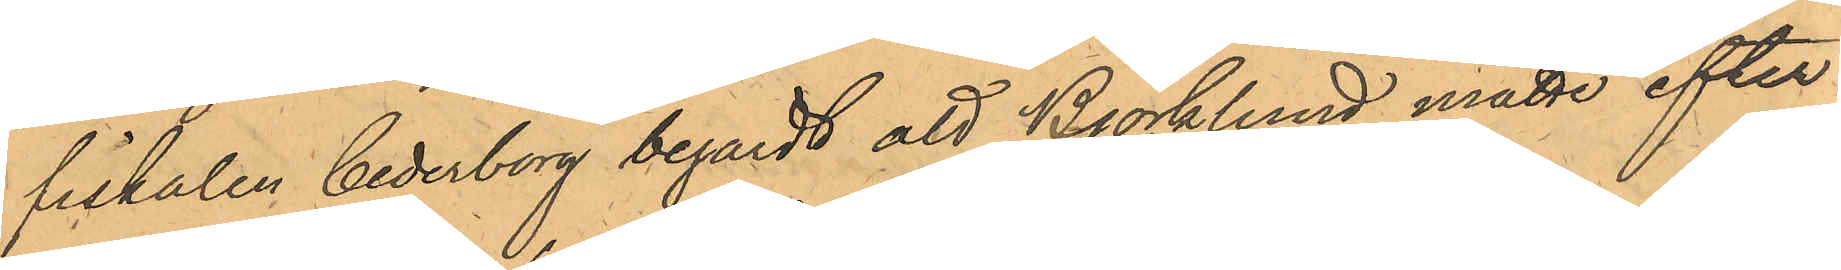fiskalen Cederborg begärdt att Björklund måtte efter¬
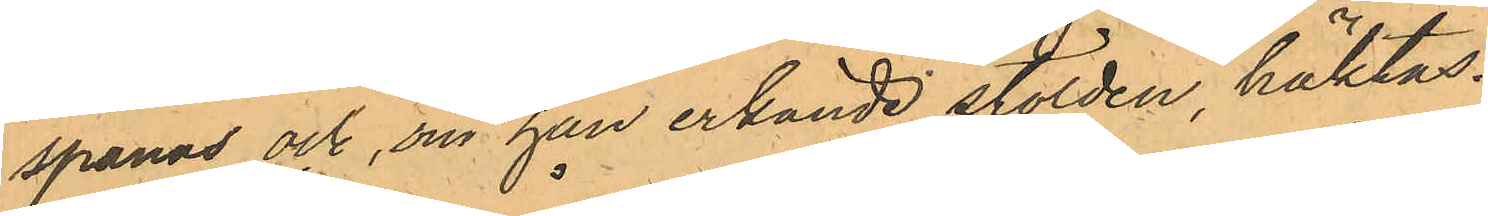spanas, och, om han erkände stölden, häktas.
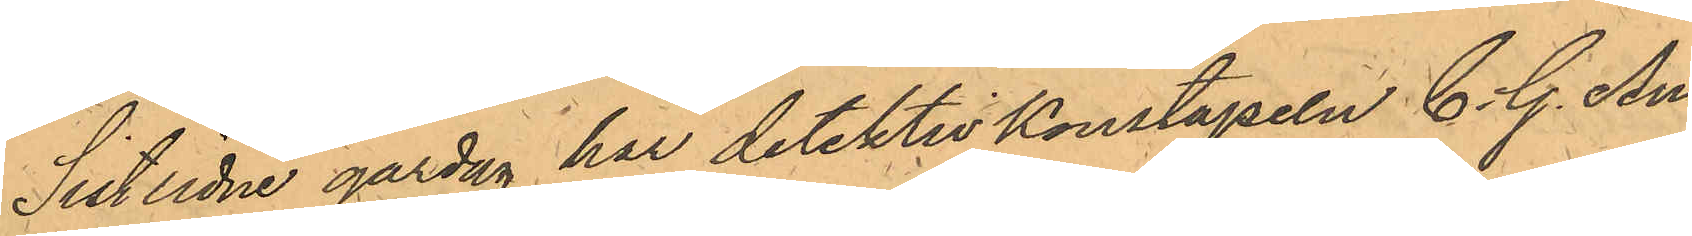Sistlidne gårdag har detektivKonstapeln C. G. An¬
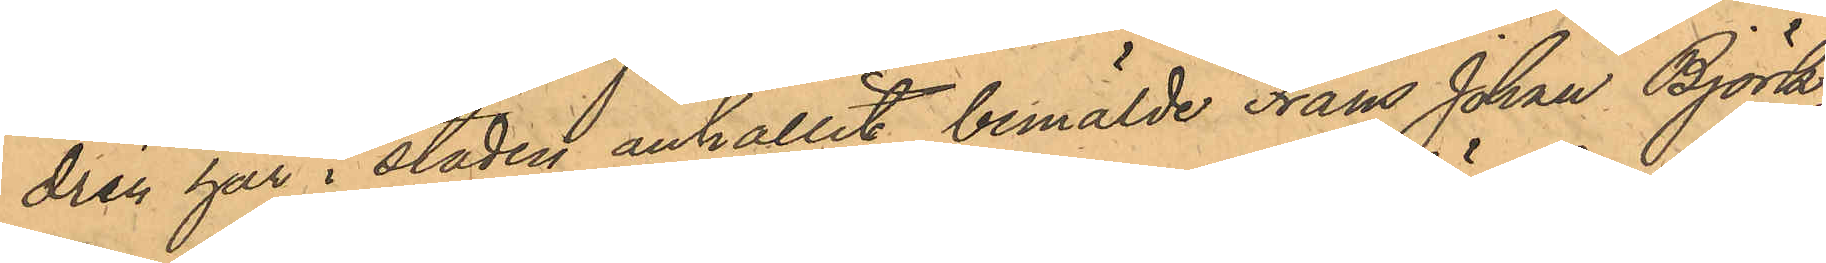drén här i staden anhållit bemälde Frans Johan Björk¬
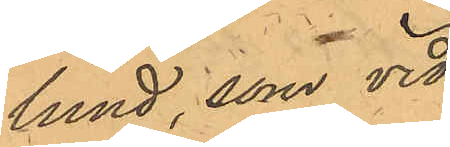lund, som vid
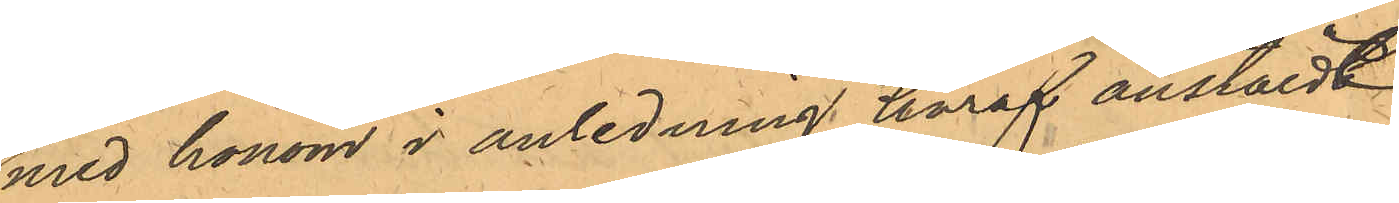med honom i anledning häraf anstäldt
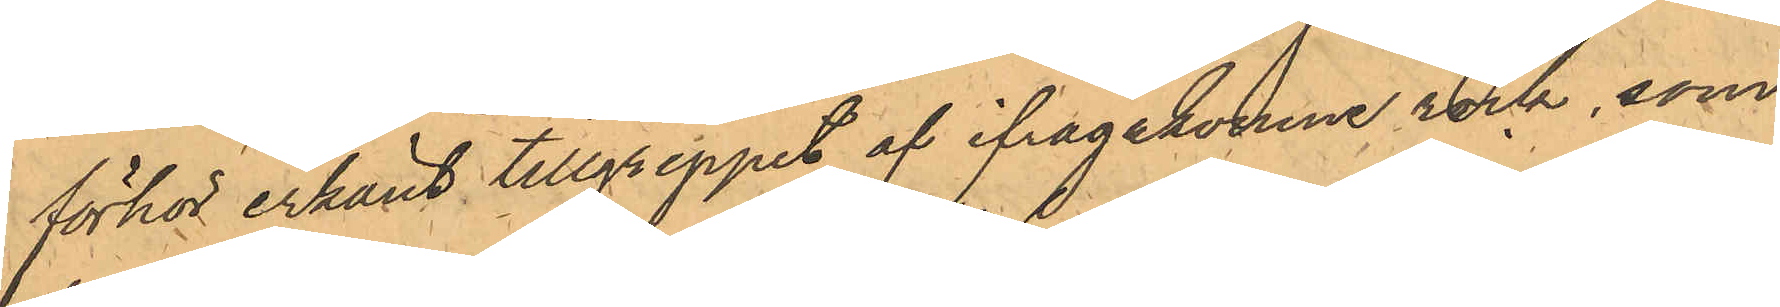förhör erkänt tillgreppet af ifrågakomne rock, som
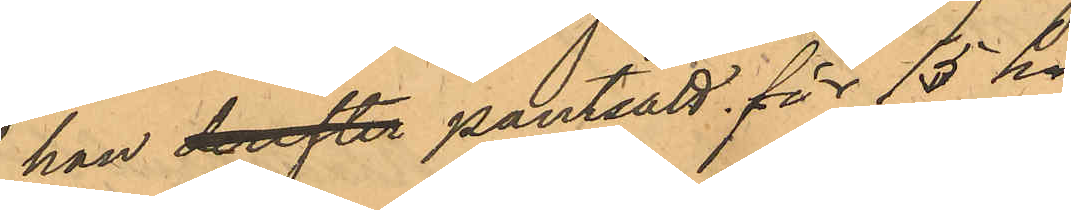han derefter pantsatt för 15 kr.
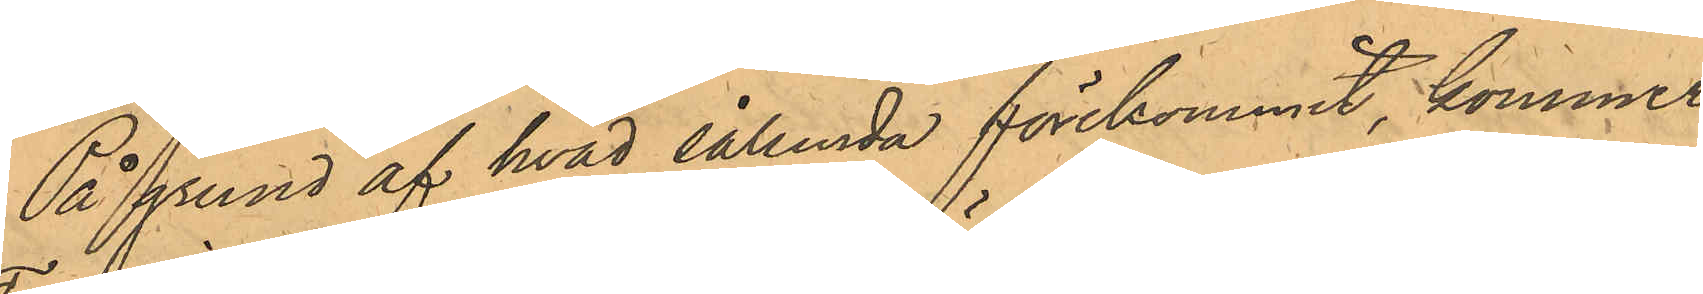På grund af vad sålunda förekommit, kommer
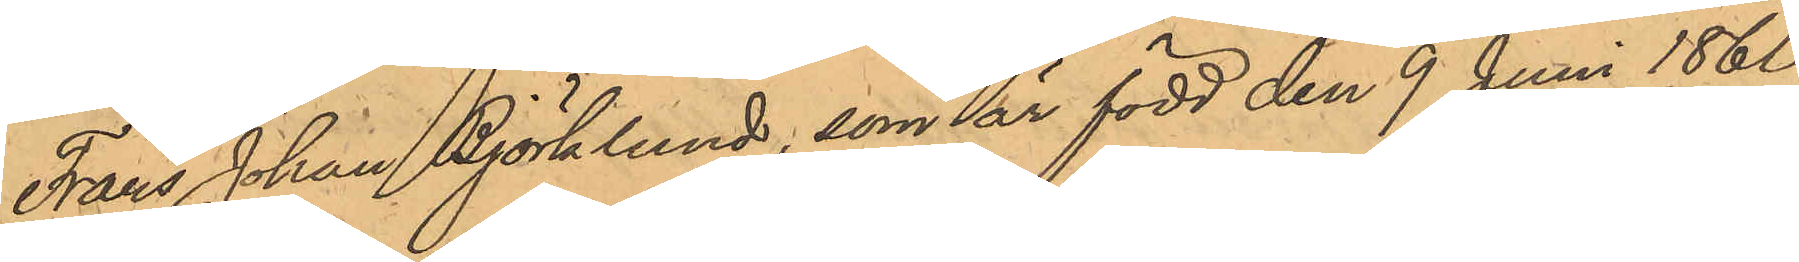Frans Johan Björklund, som är född den 8 Juni 1860 
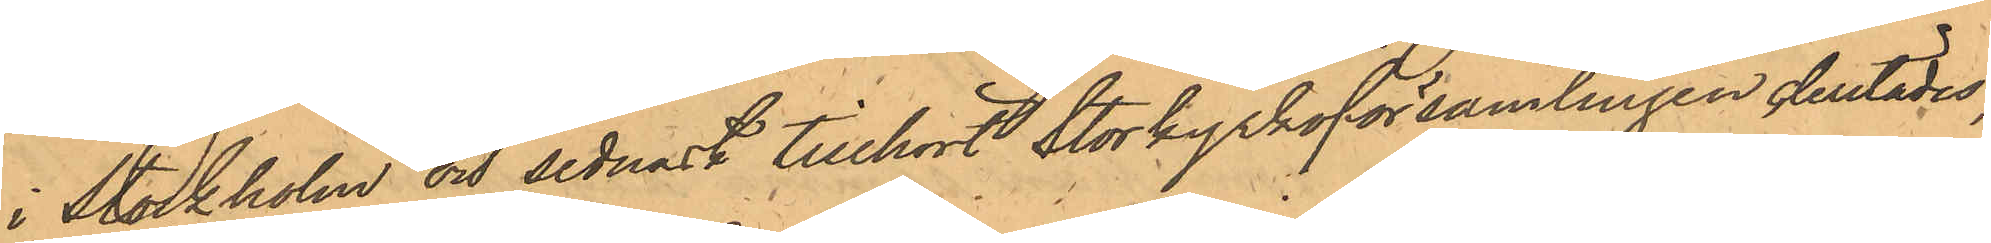i Stockholm och sednast tillhört Storkyrkoförsamlingen derstädes,
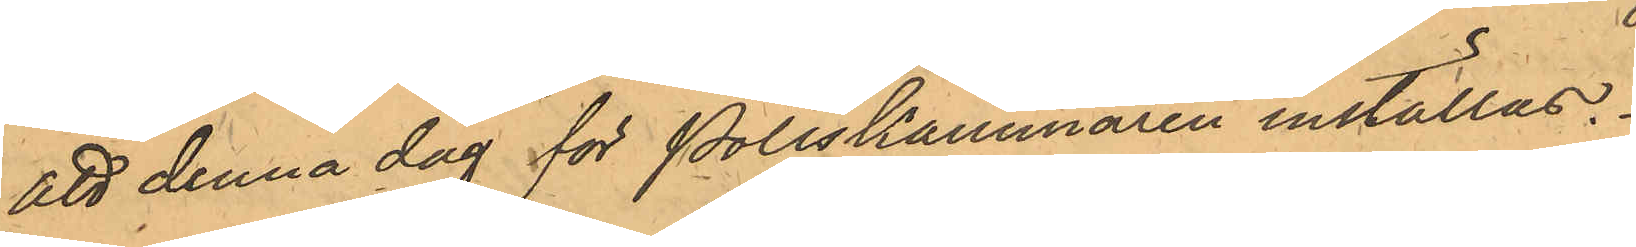att denna dag för Poliskammaren inställas.
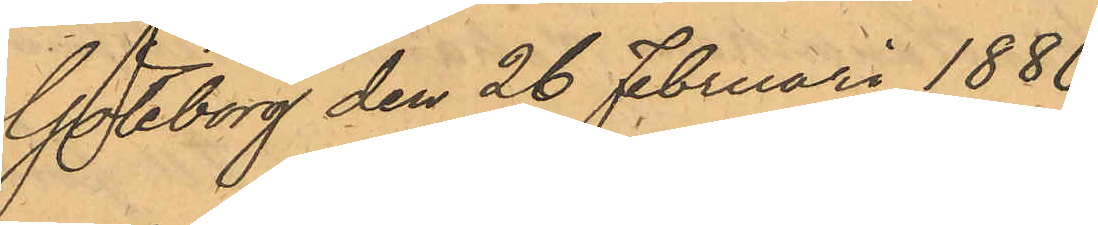Göteborg den 26 Februari 1880.
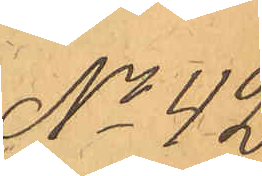No 42.
